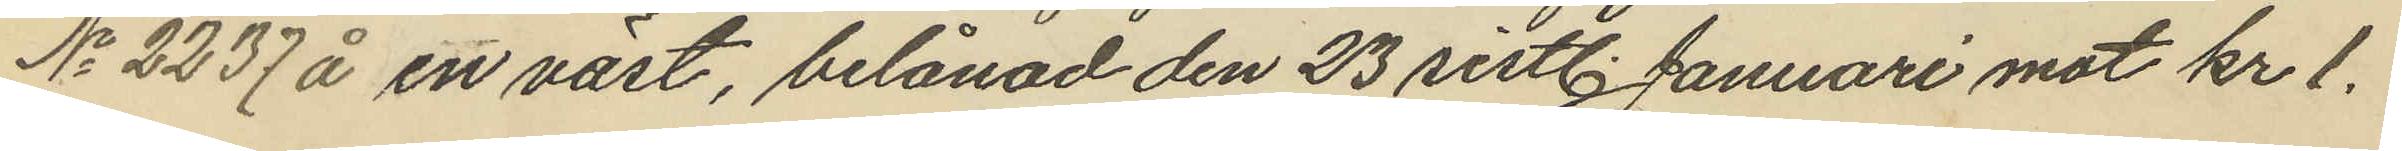No 2237 å en väst, belånad den 23 sistl. Januari mot kr 1.
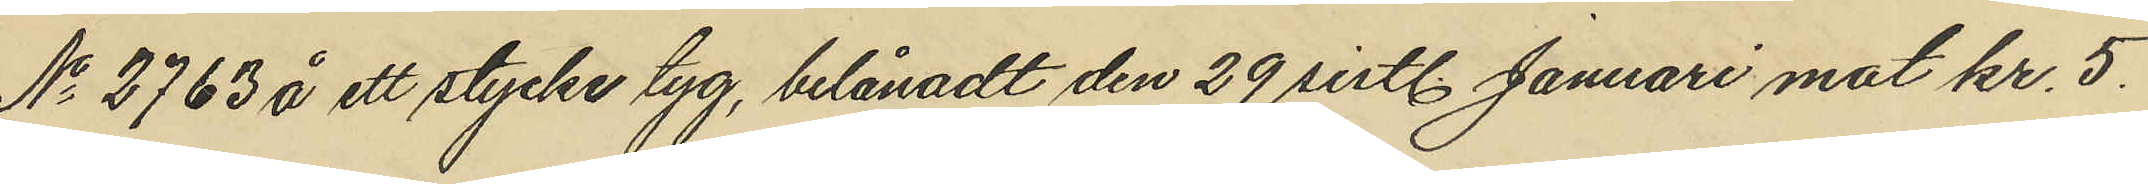No 2763 å ett stycke tyg, belånadt den 29 sist. Januari mot kr. 5.
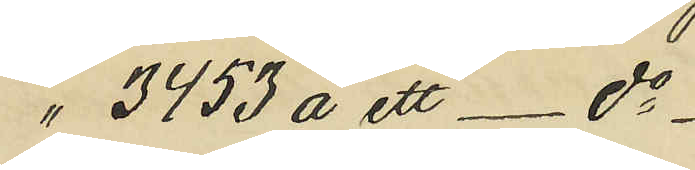" 3453 å ett - do 
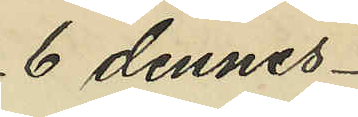6 dennes
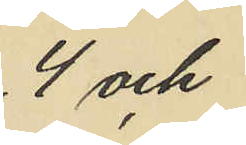4 och
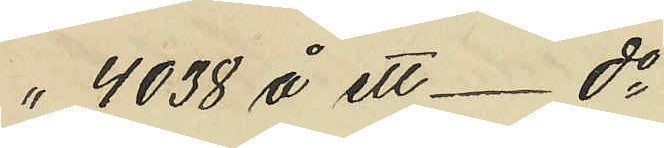" 4038 å ett - do
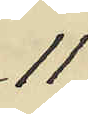11
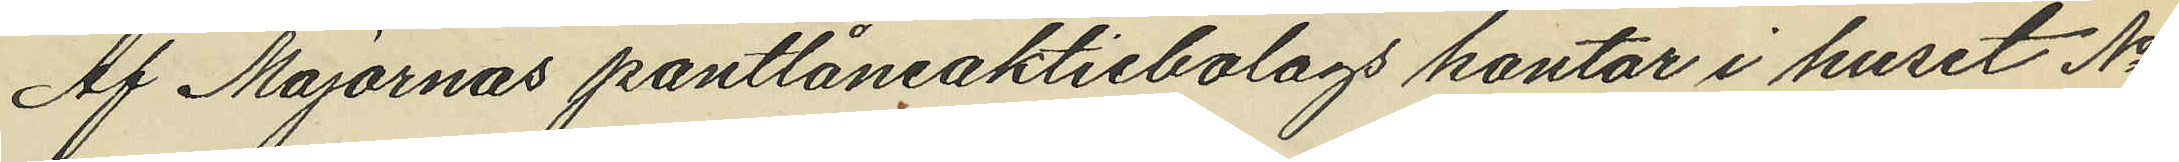Af Majornas pantlåneaktiebolags kontor i huset No
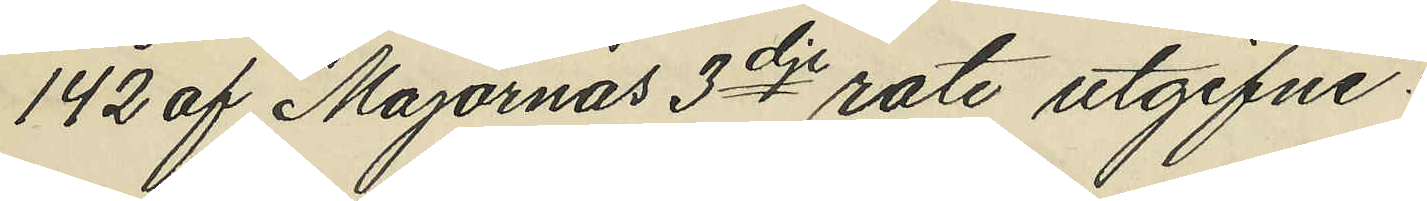142 af Majornas 3dje rote utgifne:
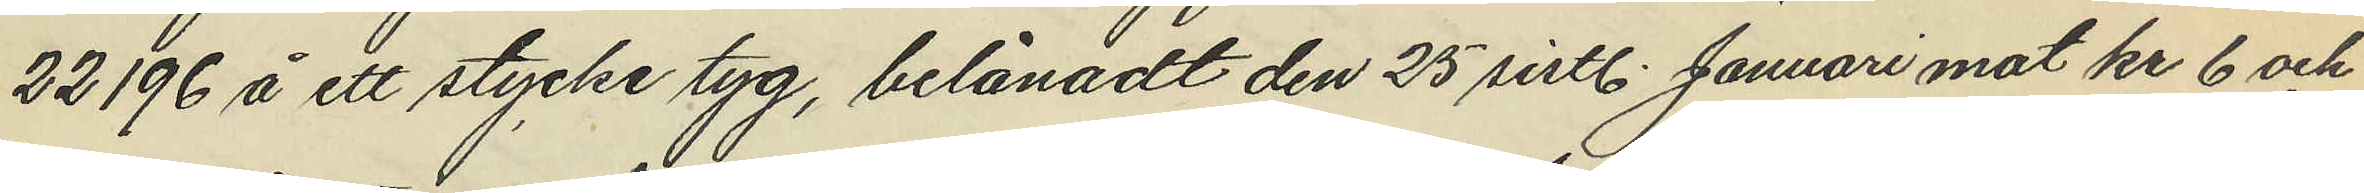22196 å ett stycke tyg, belånadt den 25 sistl. Januari mot kr 6 och
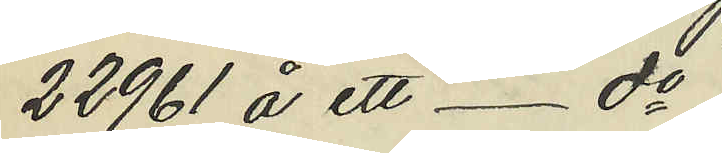22961 å ett - do
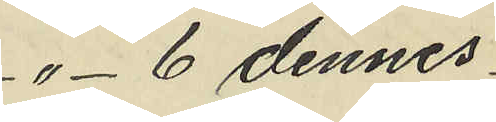" - 6 dennes
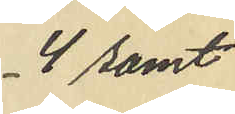4 samt
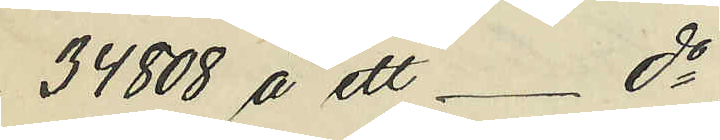34808 å ett - do
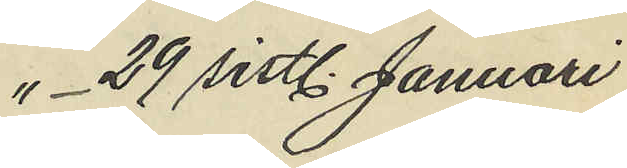"- 29 sistl. Januari
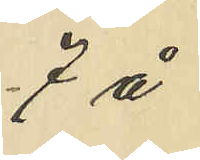7 å
